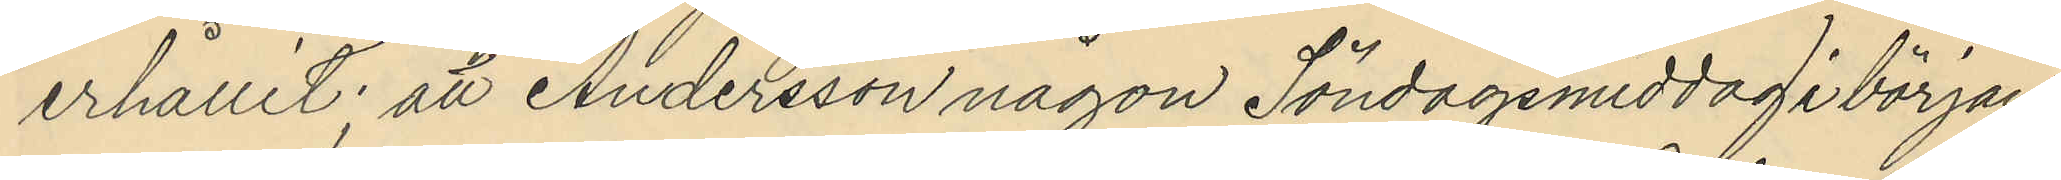erhållit; att Andersson någon Söndagsmiddag i början
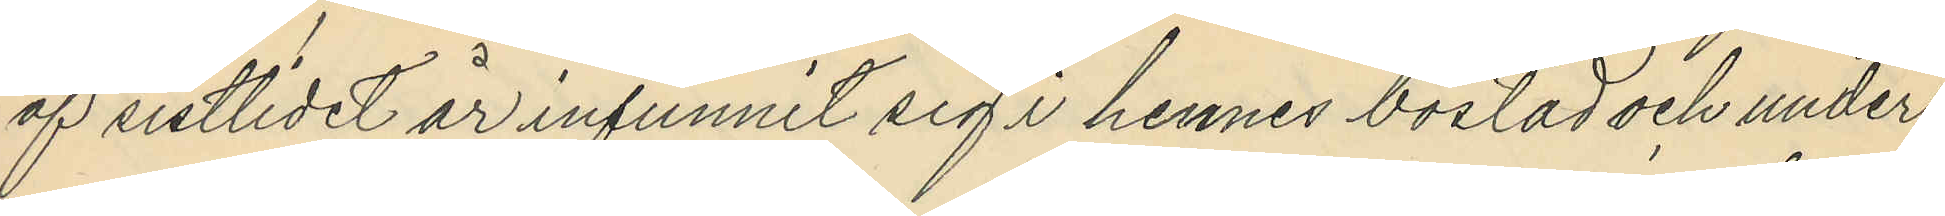af sistlidet år infunnit sig i hennes bostad och under
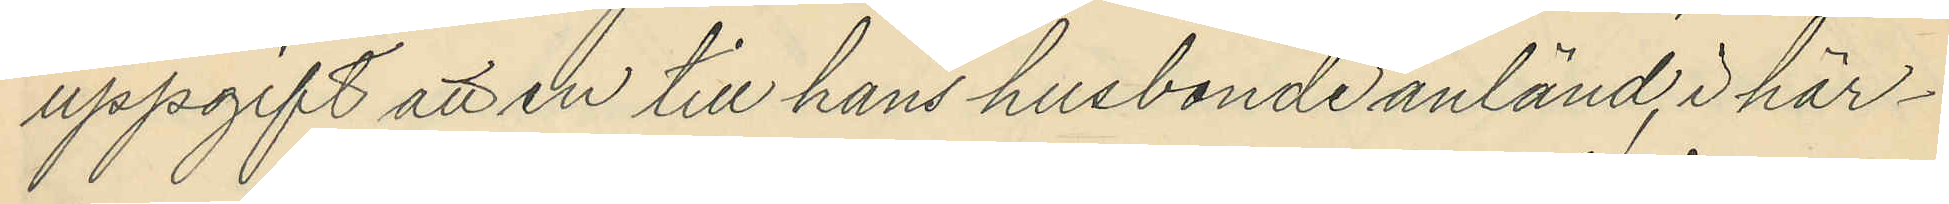uppgift att en till hans husbonde anländ, i här¬
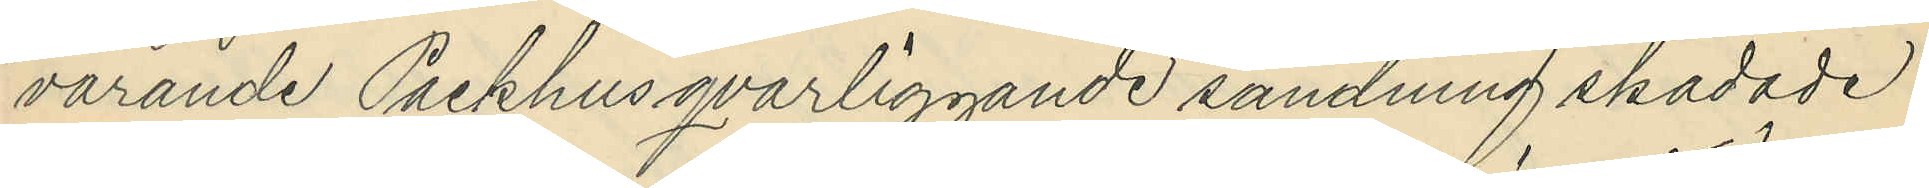varande Packhus qvarliggande sändning skadade
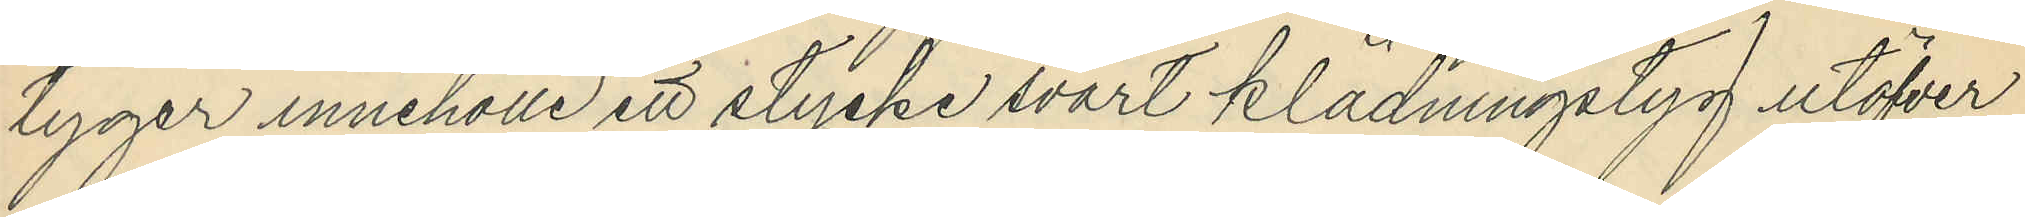tyger innehölle ett stycke svart klädningstyg utöfver
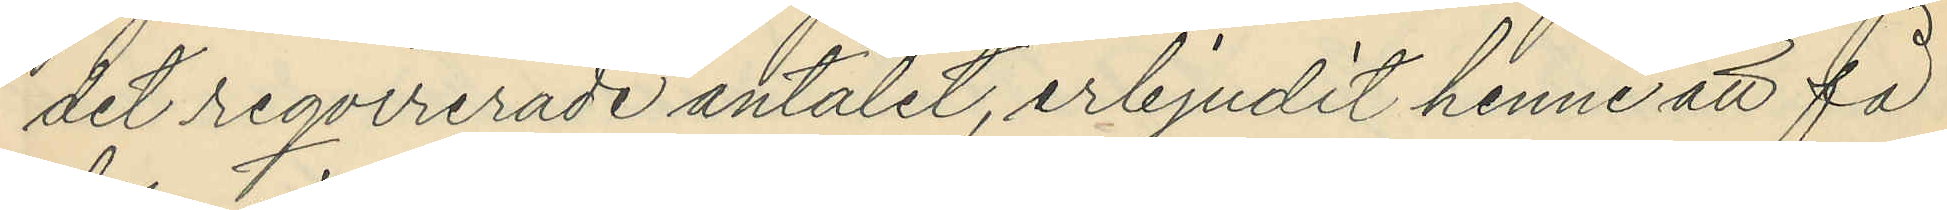det reqvirerade antalet, erbjudit henne att få
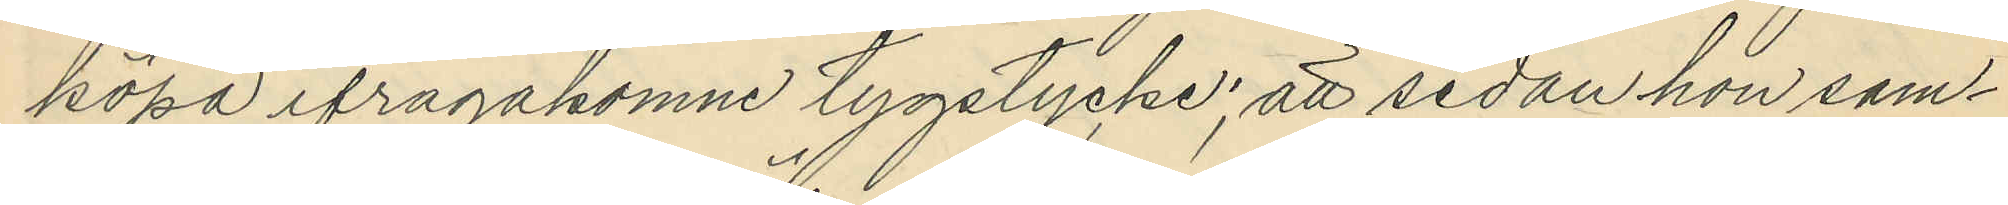köpa ifrågakomne tygstycke; att sedan hon sam¬
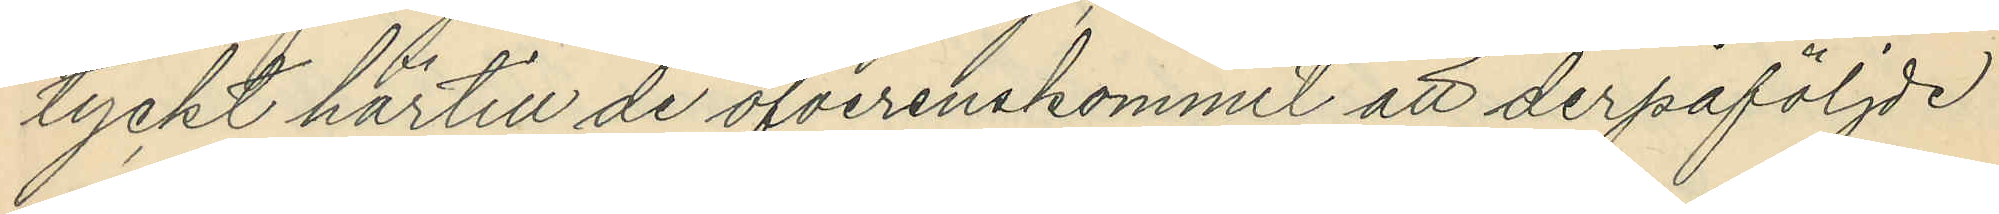tyckt härtill de öfverenskommit att derpåföljde
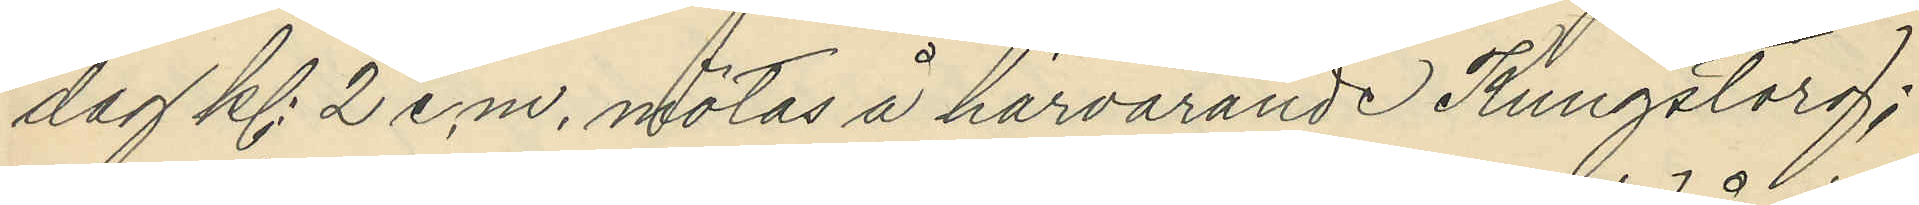dag kl 2 e.m. mötas å härvarande Kungstorg;
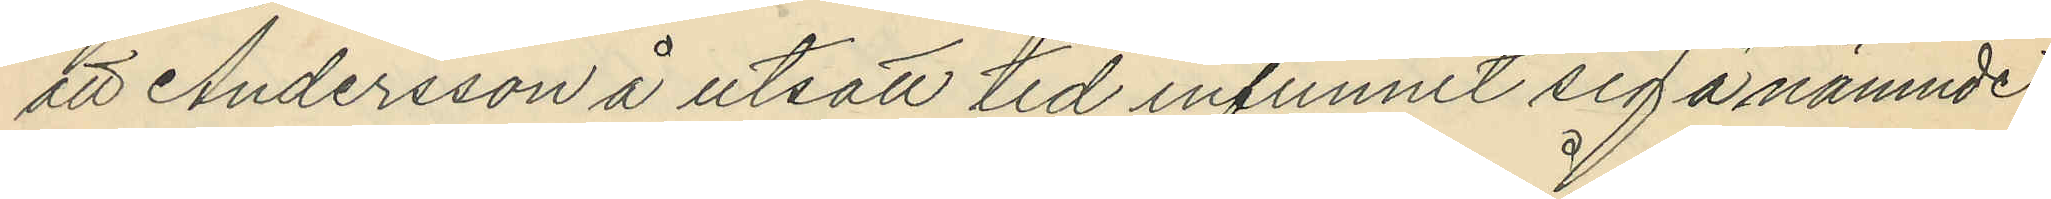att Andersson å utsatt tid infunnit sig å nämnde
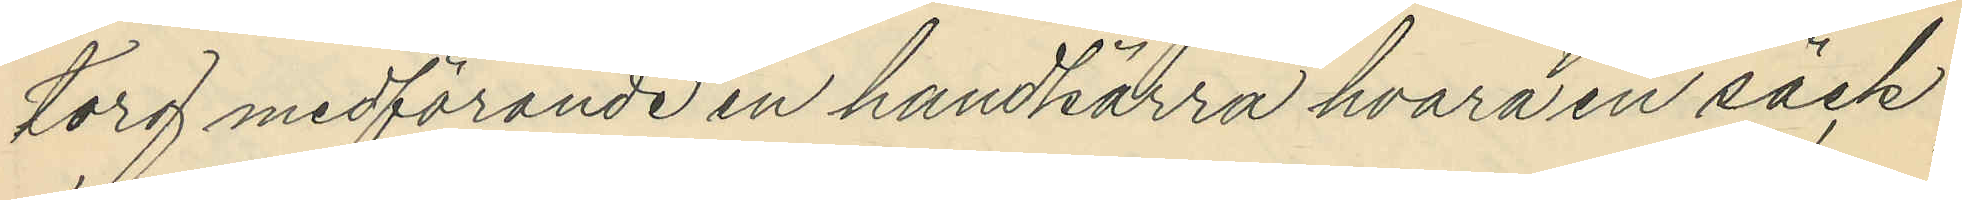torg medförande en handkärra hvarå en säck,
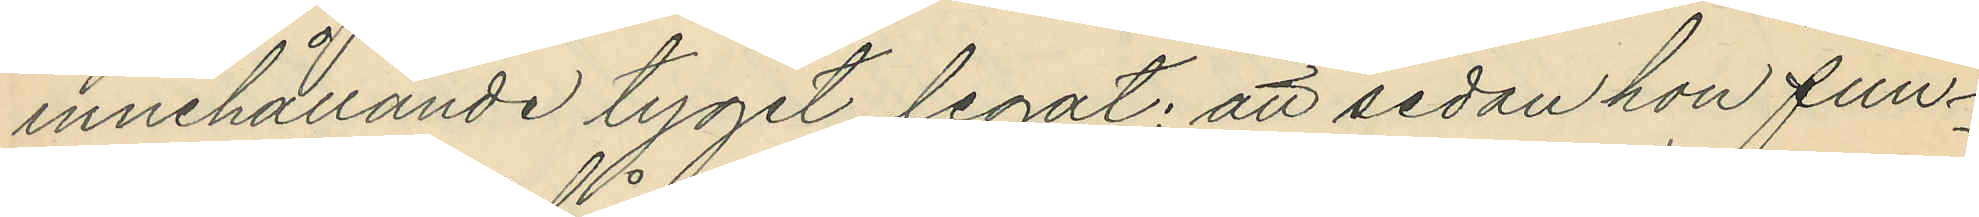innehållande tyget legat; att sedan hon fun¬
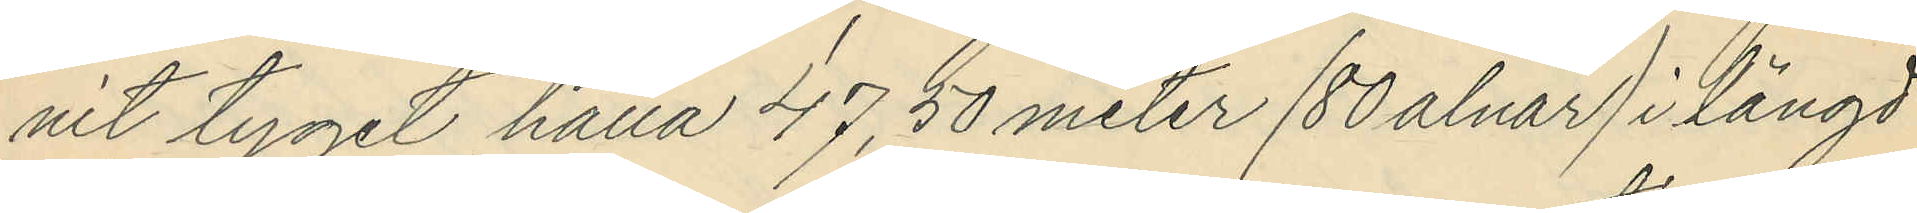nit tyget hålla 47,50 meter (80 alnar) i längd
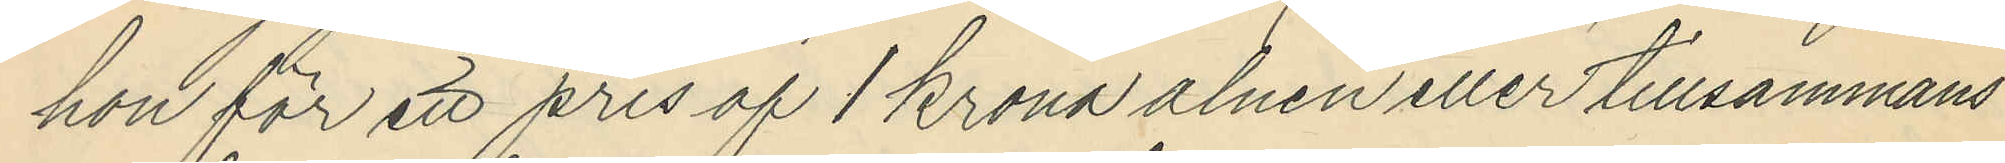hon för ett pris af 1 krona alnen eller tillsammans
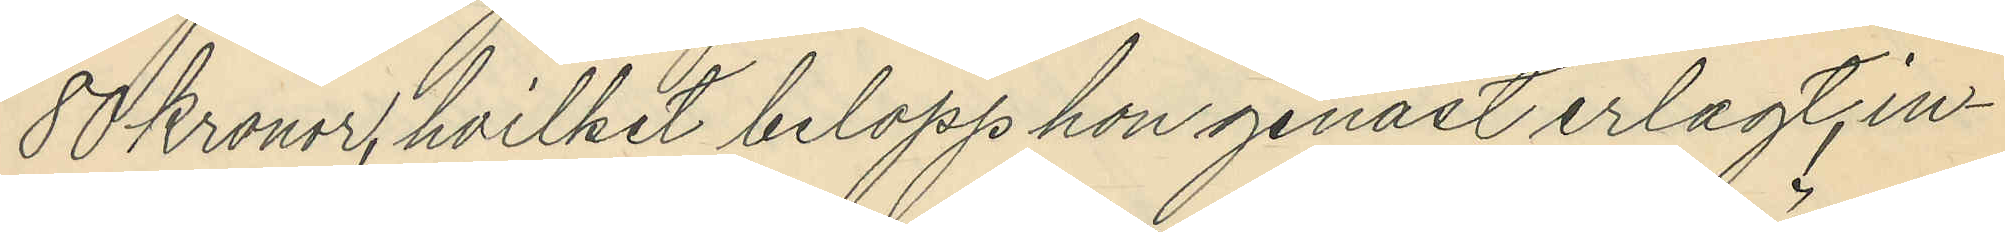80 Kronor, hvilket belopp hon genast erlagt, in¬
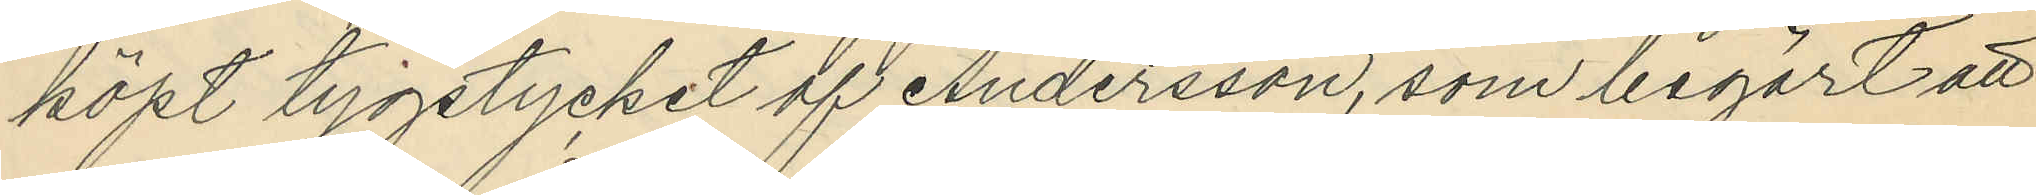köpt tygstycket af Andersson, som begärt att
